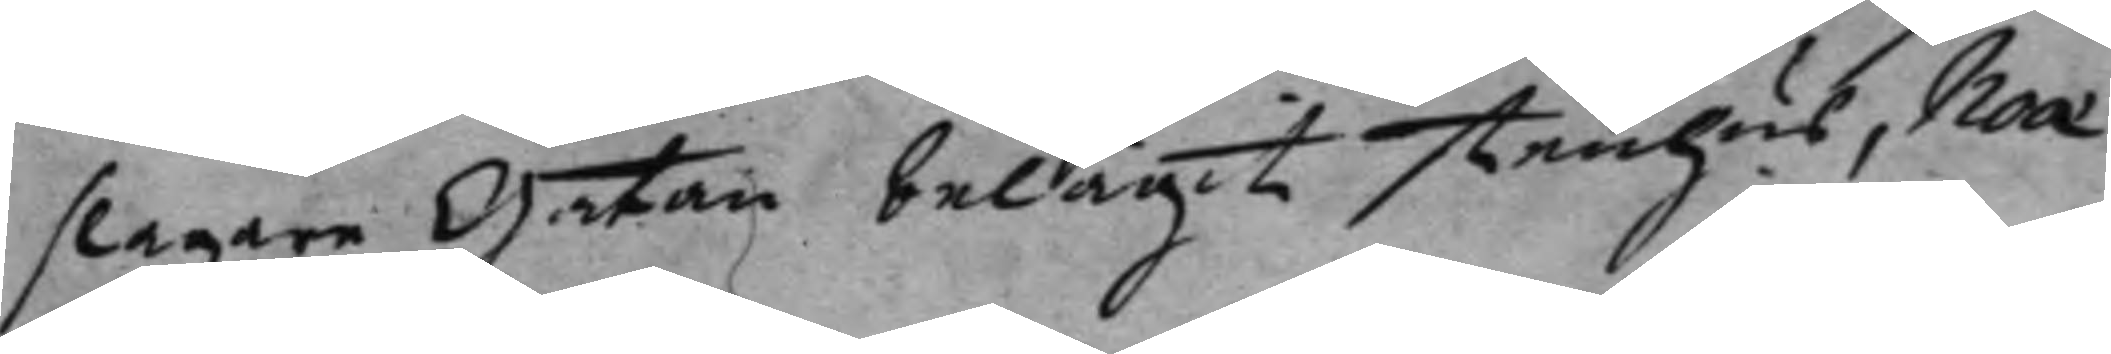slagare Gatan belägit stenhus, Noæ
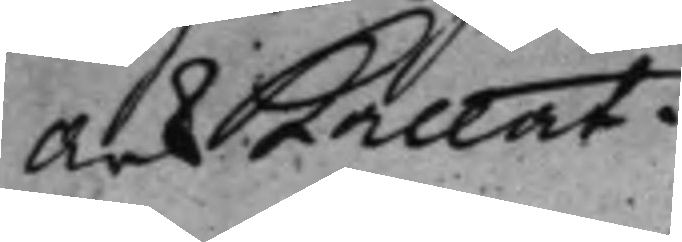Ark kallat.
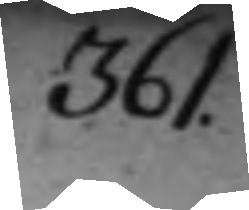361.
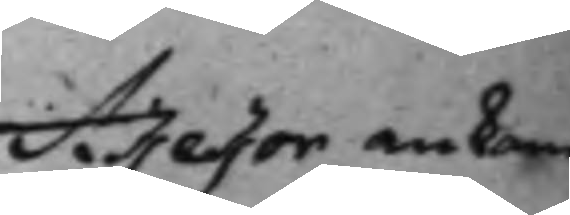Assessor ankom¬
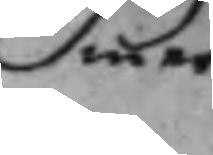mer
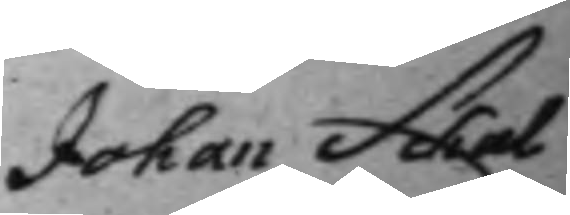Johan Schal¬
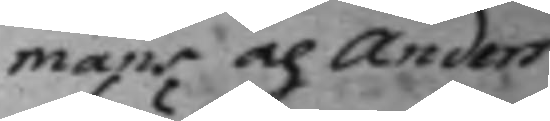mans och Anders
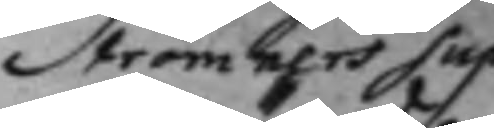Strömners Sup¬
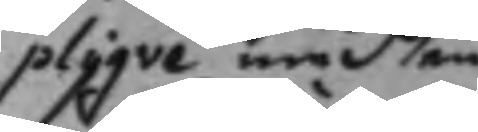plique med en
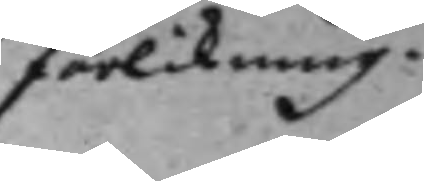förlikning.
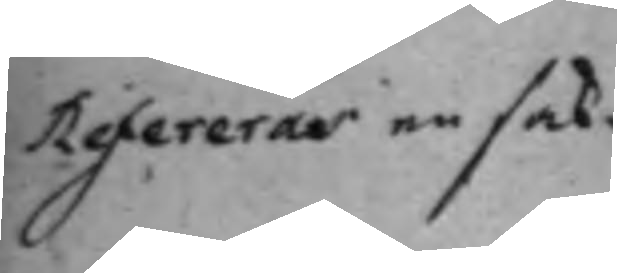Refereras en sak.
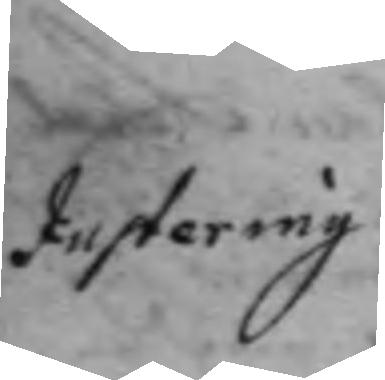Justering.
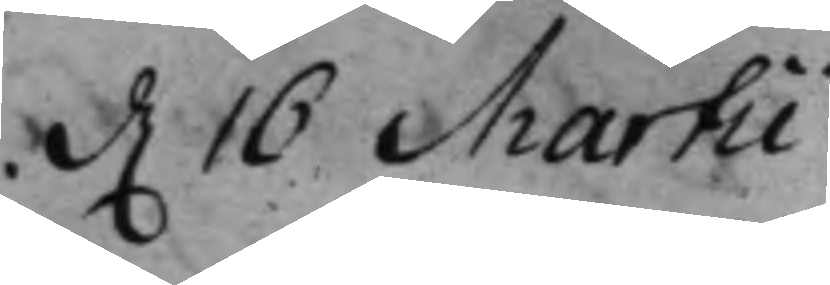d. 16 Martii
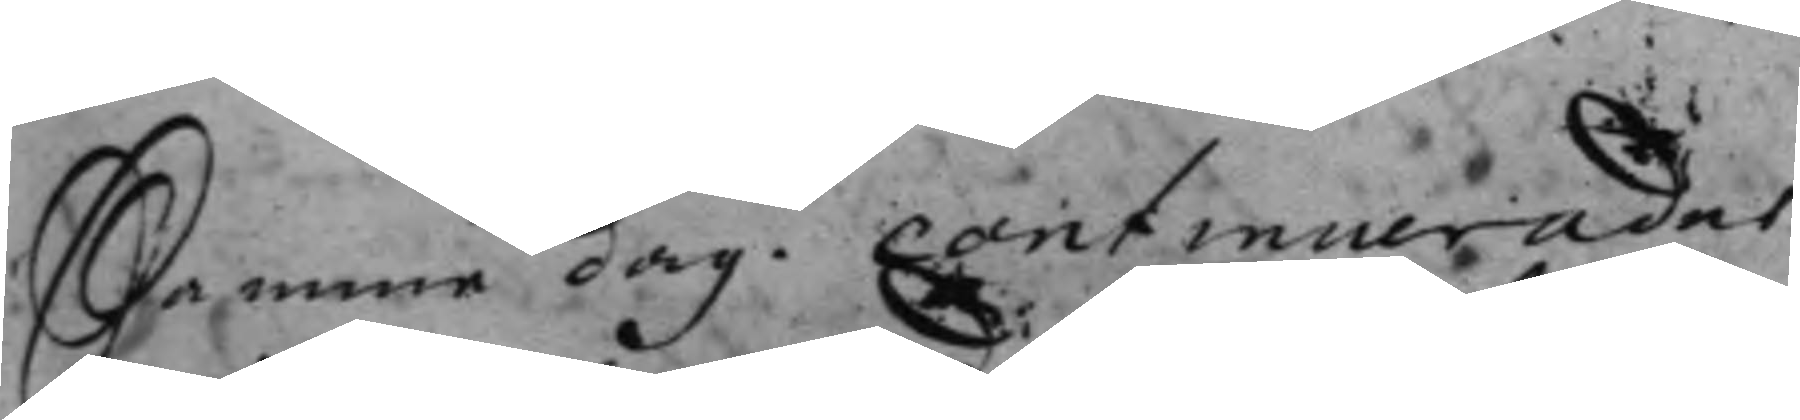Samme dag. Continuerades
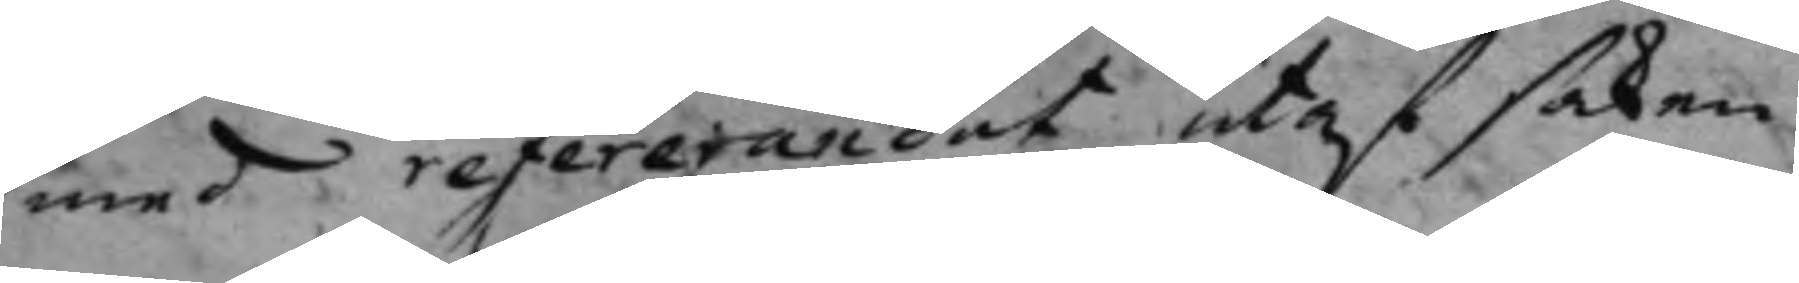med refererandet utaf saken
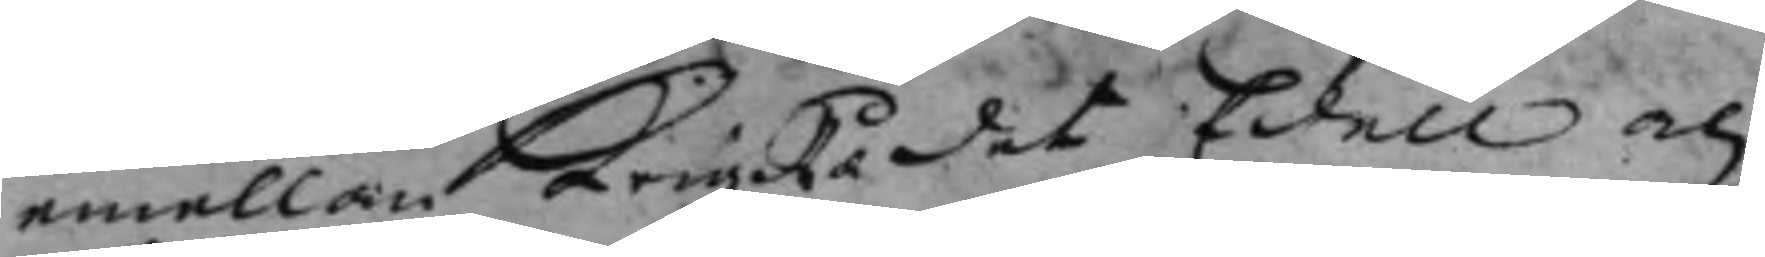emellan KrigsRådet Edell och
